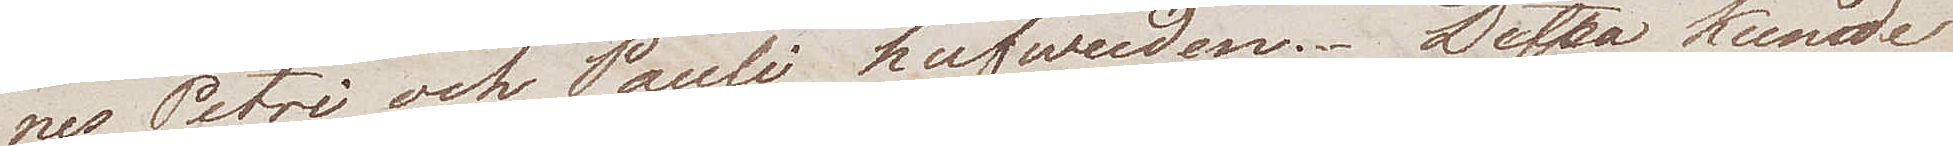nes Petri och Pauli hufvuden. Dessa kunde
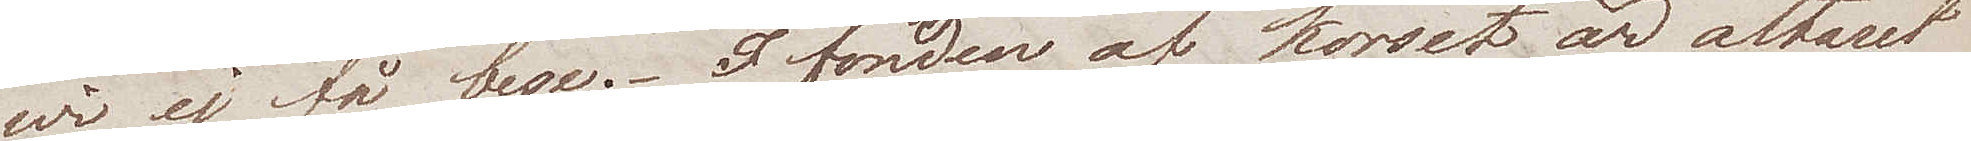wi ej få bese. I fonden af korset är altaret
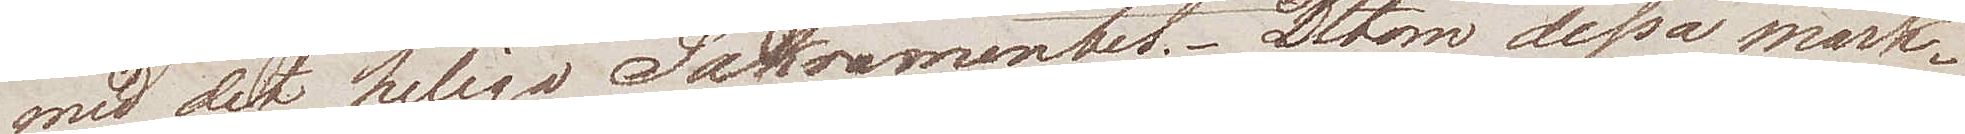med det heliga Sakramentet. Utom dessa märk¬
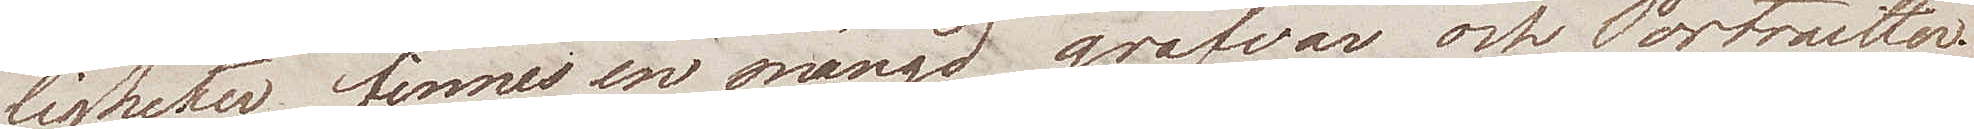ligheter finnes en mängd grafvar och Portraitter.
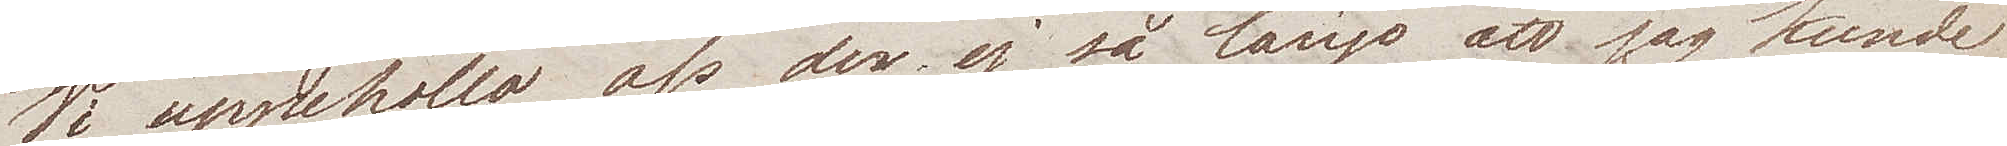Vi uppehöllo oss der ej så länge att jag kunde
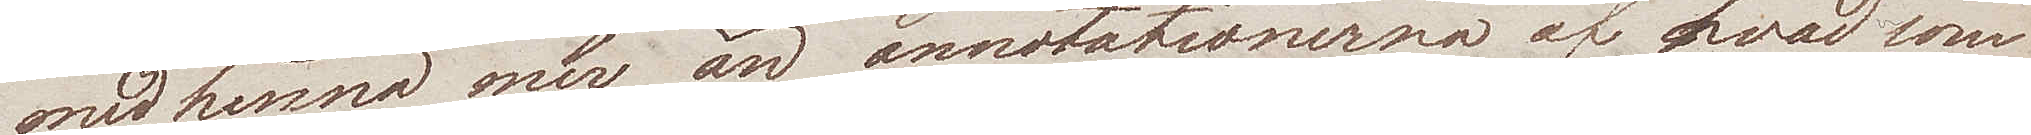medhinna mer än annotationerna af hvad som
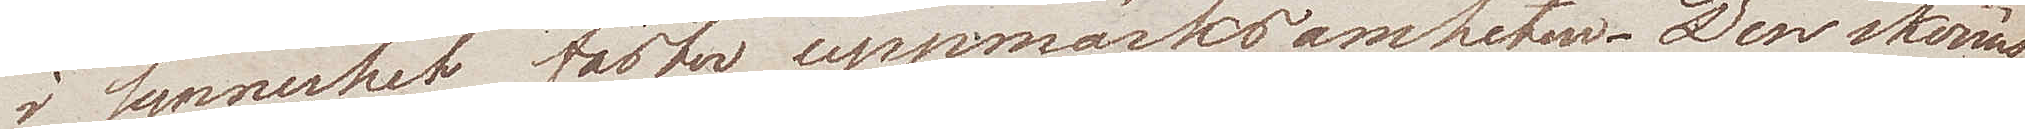i synnerhet fäster uppmärksamheten. Den skönas¬
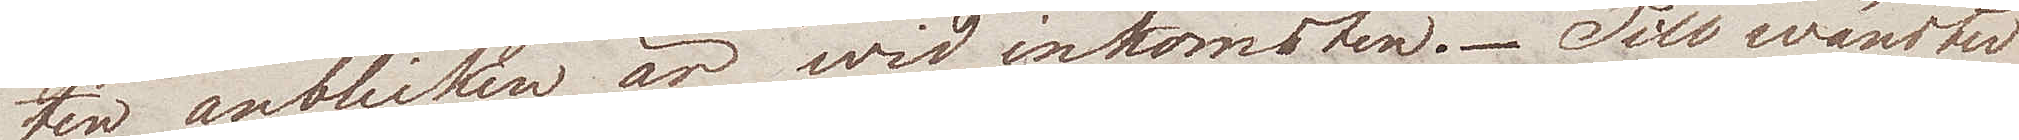te anblicken är wid inkomsten. Till wänster
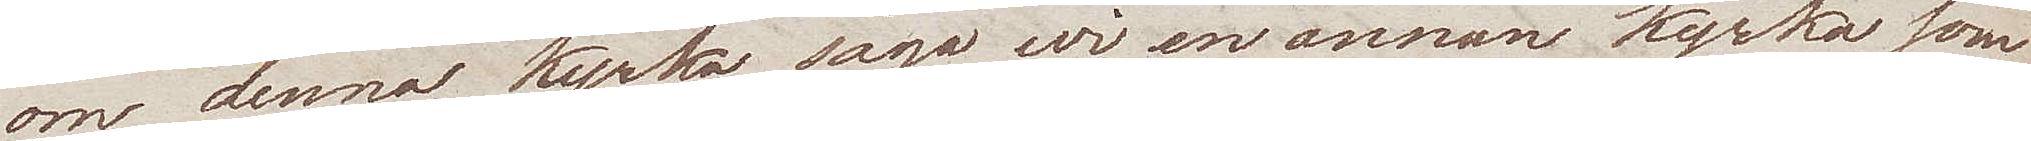om denna kyrka sågo wi en annan kyrka som
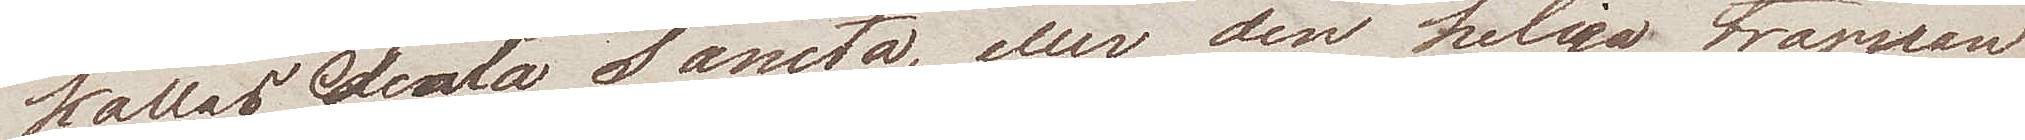kallas Scala Sancta, eller den heliga trappan
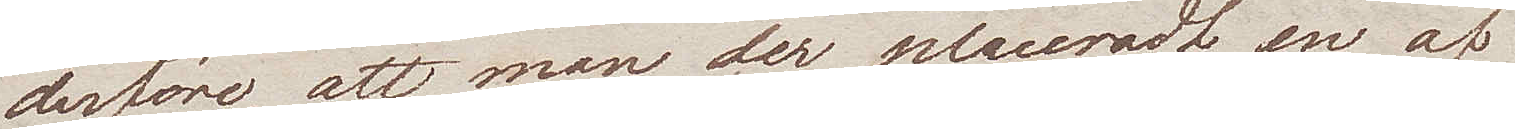derföre, att man der placeradt en af
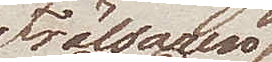Frälsaren
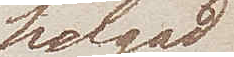helgad
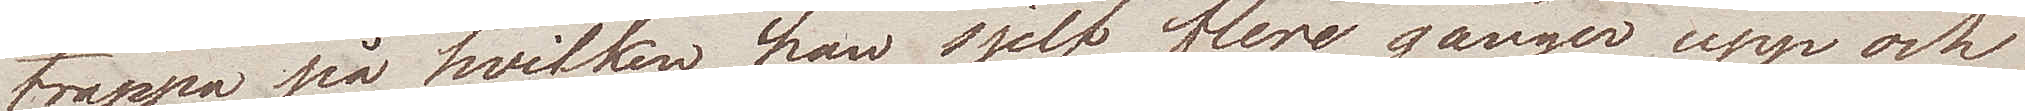trappa på hvilken han sjelf flere gånger upp och
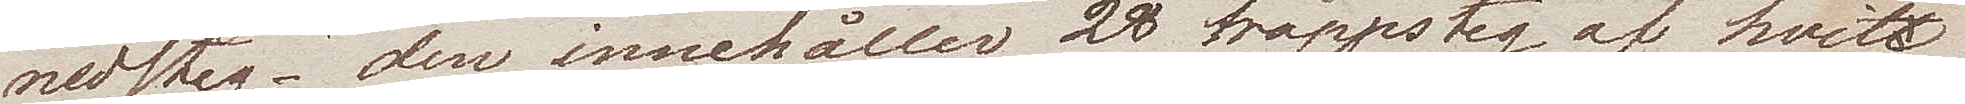nedsteg – den innehåller 28 trappsteg af hvit
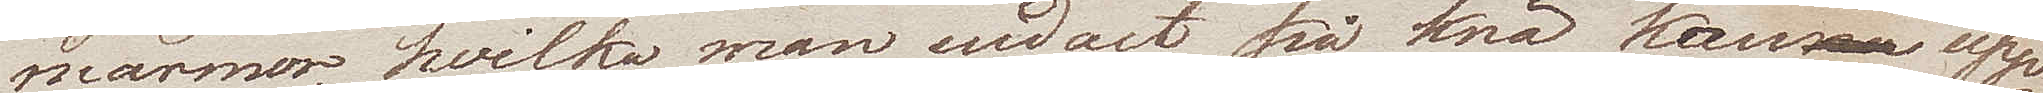marmor, hvilka man endast på knä kan upp¬
